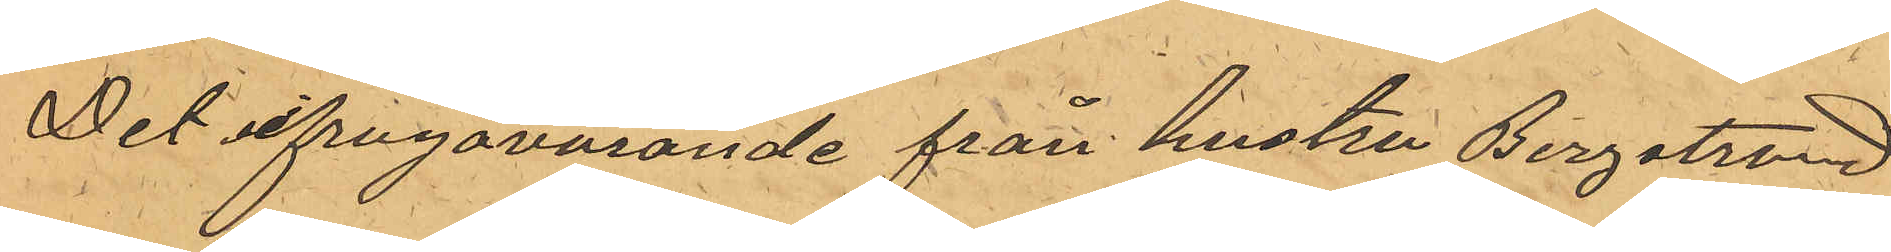Det ifrågavarande från hustru Bergstrand
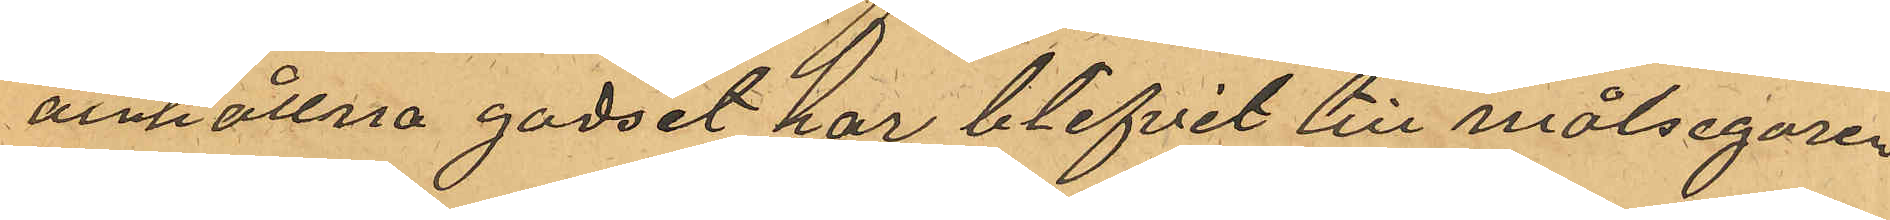anhållna godset har blifvit till målsegaren
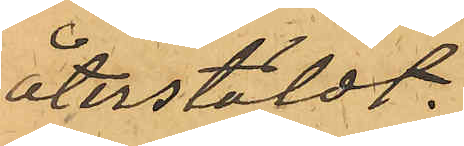återstäldt.
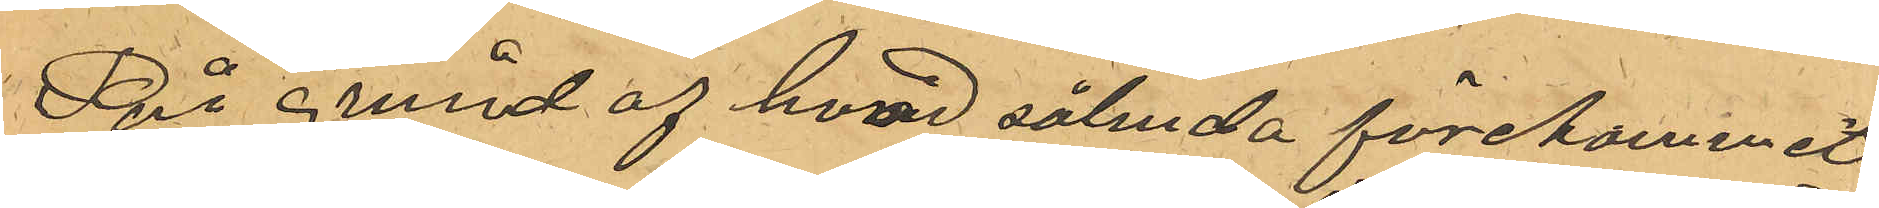På grund af hvad sålunda förekommit
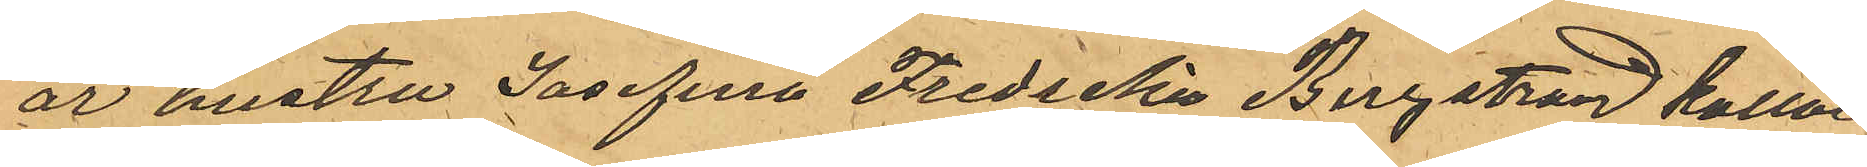är hustru Josefina Fredrika Bergstrand kallad
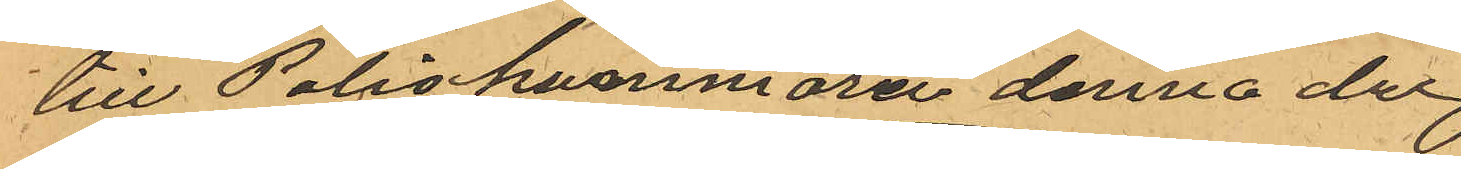till Poliskammaren denna dag.
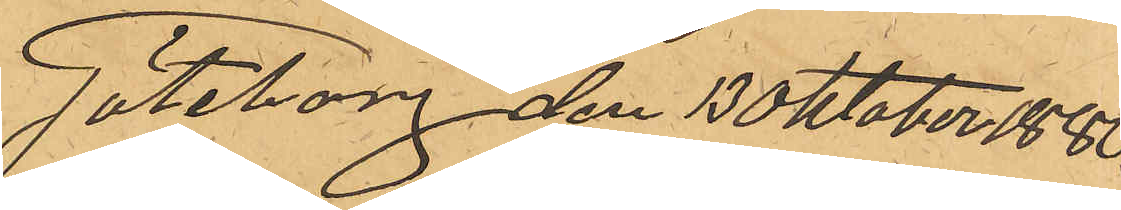Göteborg den 13 Oktober 1880.
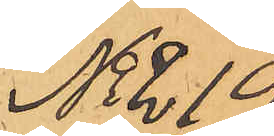No 219
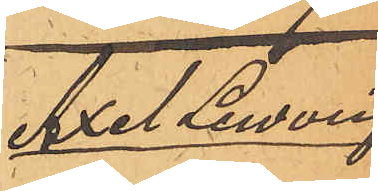Axel Ludvig
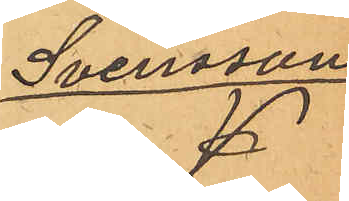Svensson
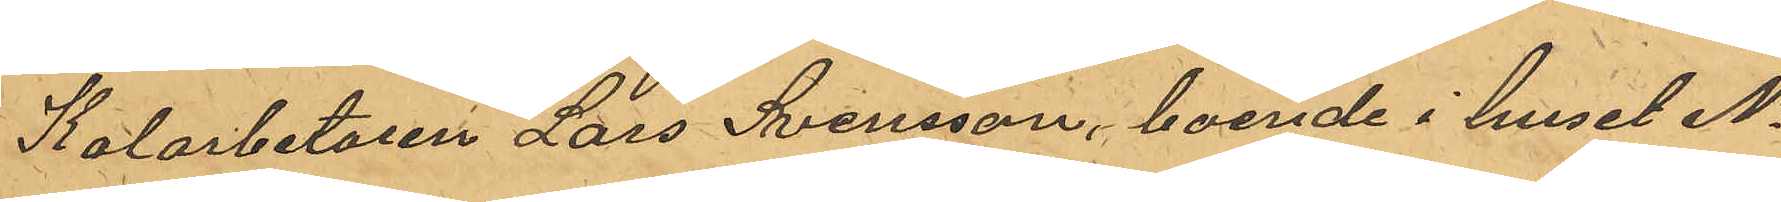Kolarbetaren Lars Svensson, boende i huset No
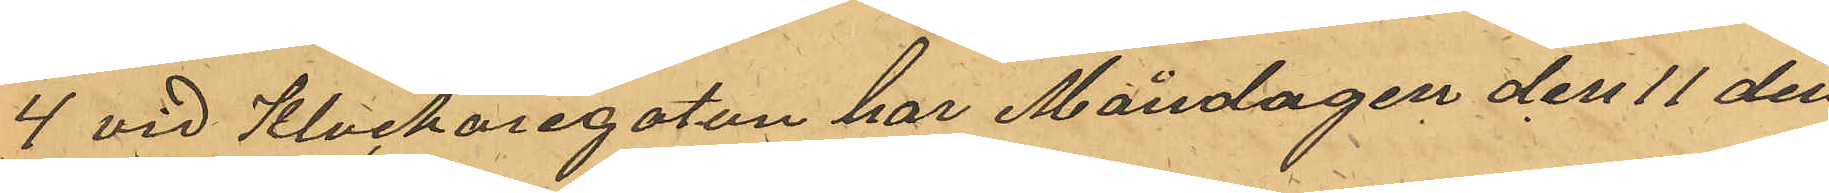4 vid Klockaregatan har Måndagen den 11 den¬
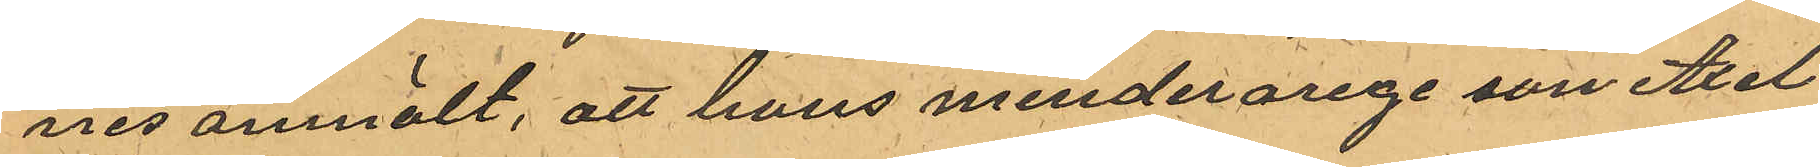nes anmält, att hans minderarige son Axel
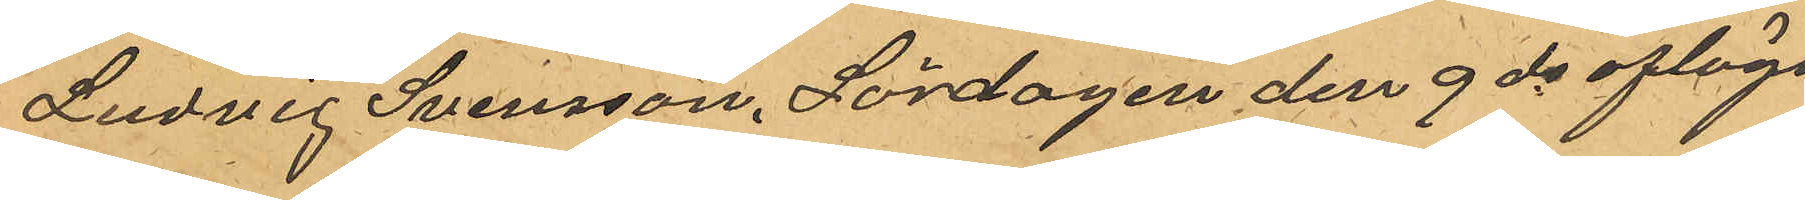Ludvig Svensson, Lördagen den 9 ds aflägs¬
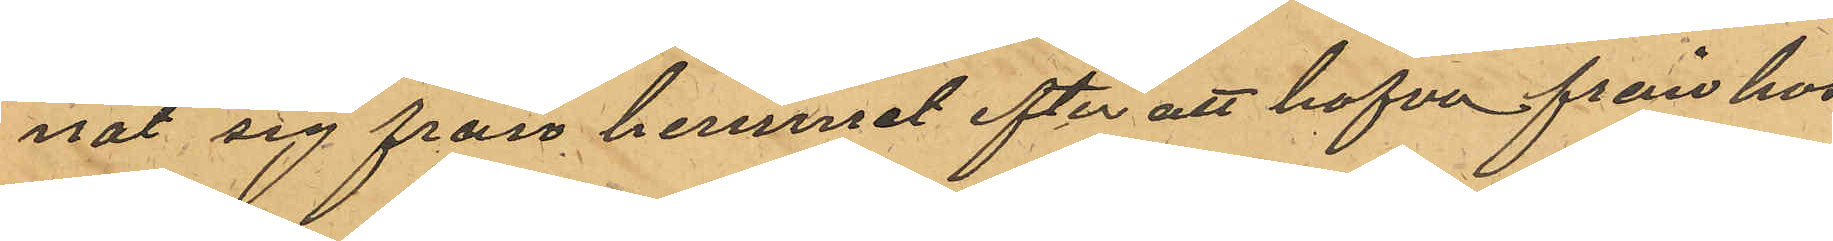nat sig från hemmet efter att hafva från hos
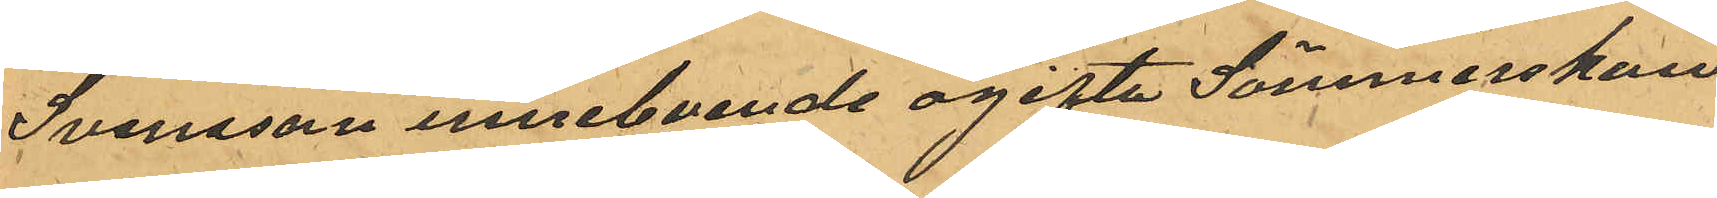Svensson inneboende ogifta Sömmerskan
